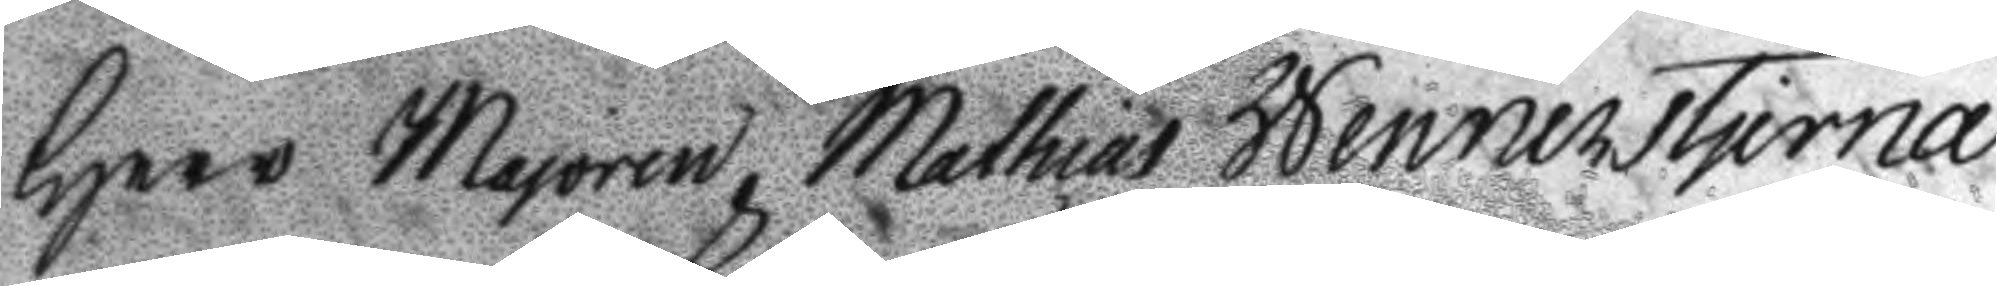Herr Majoren Mathias Wennerstjerna
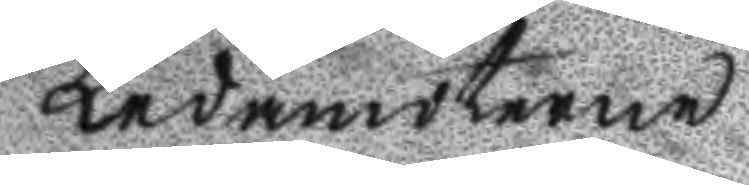Ledamöterne
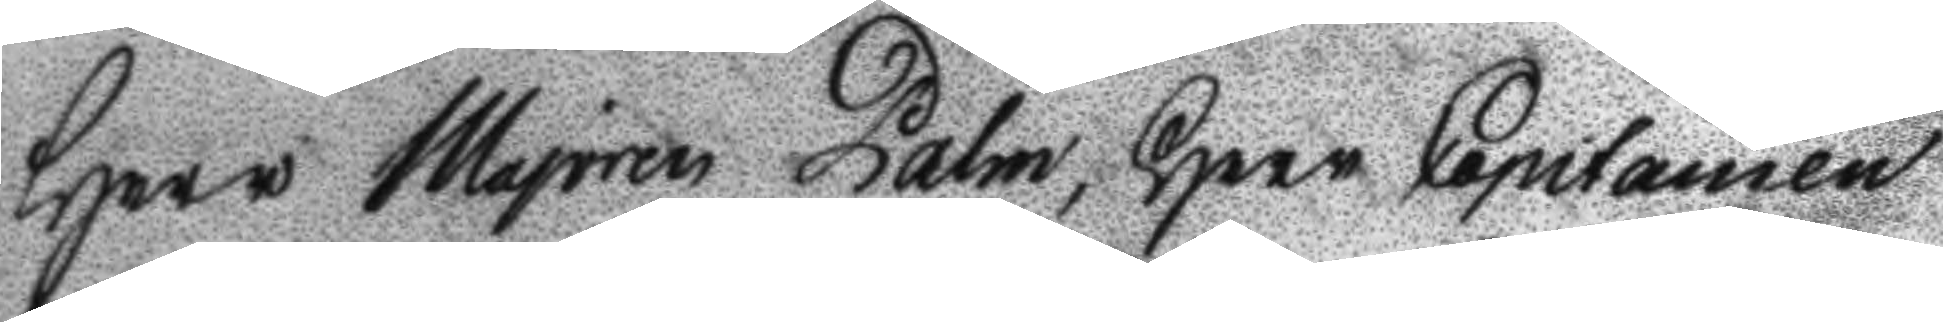Herr Majoren Palm, Herr Capitainen
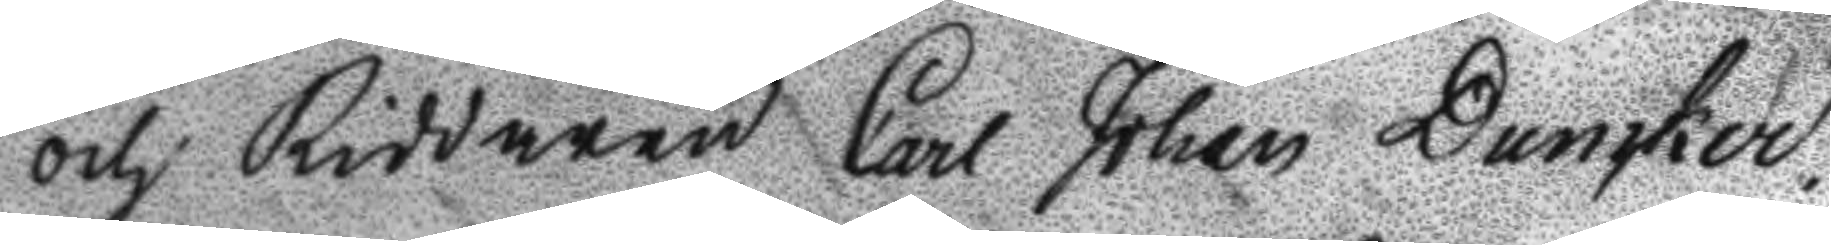och Riddaren Carl Johan Duncker.
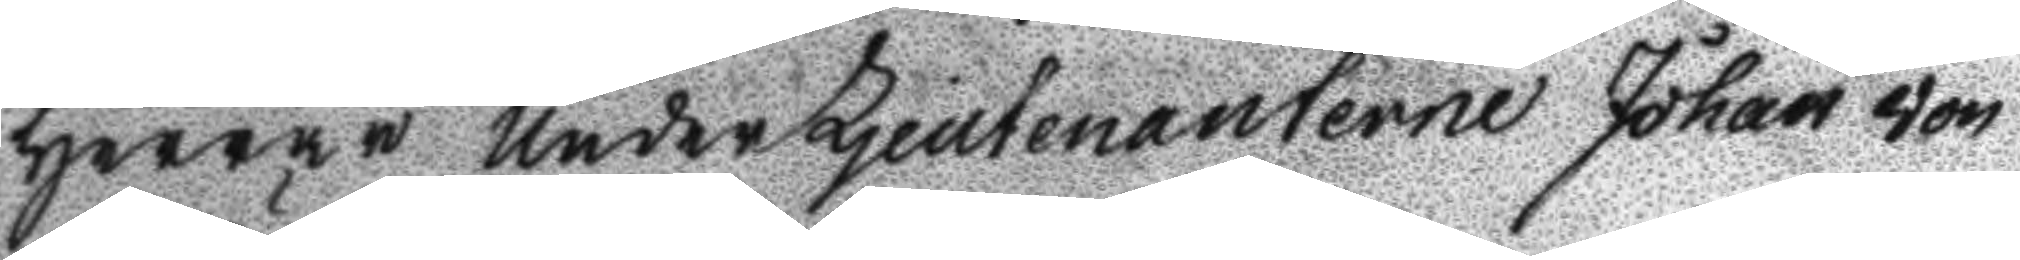Herrar UnderLjeutenanterne Johan von
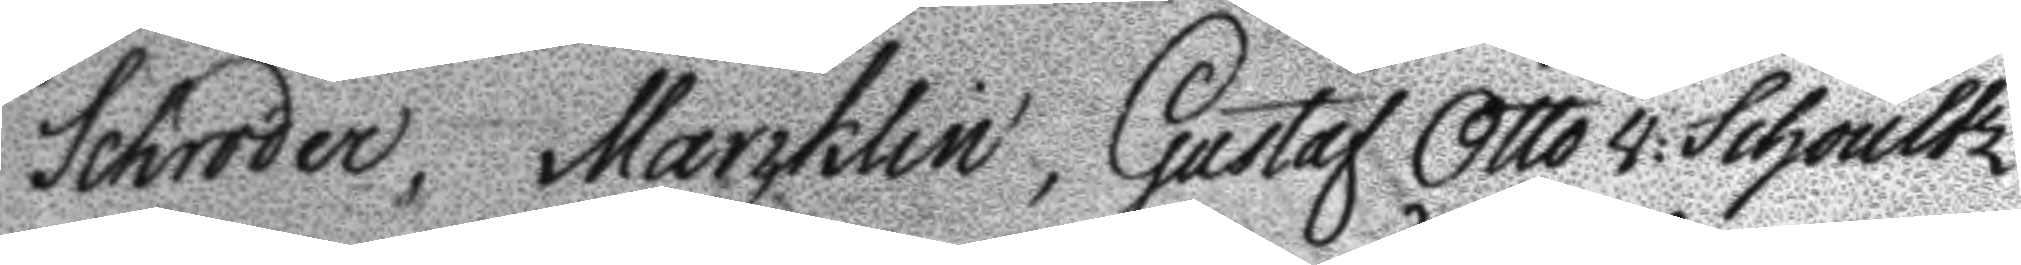Schröder, Marcklin, Gustaf Otto v: Schoultz
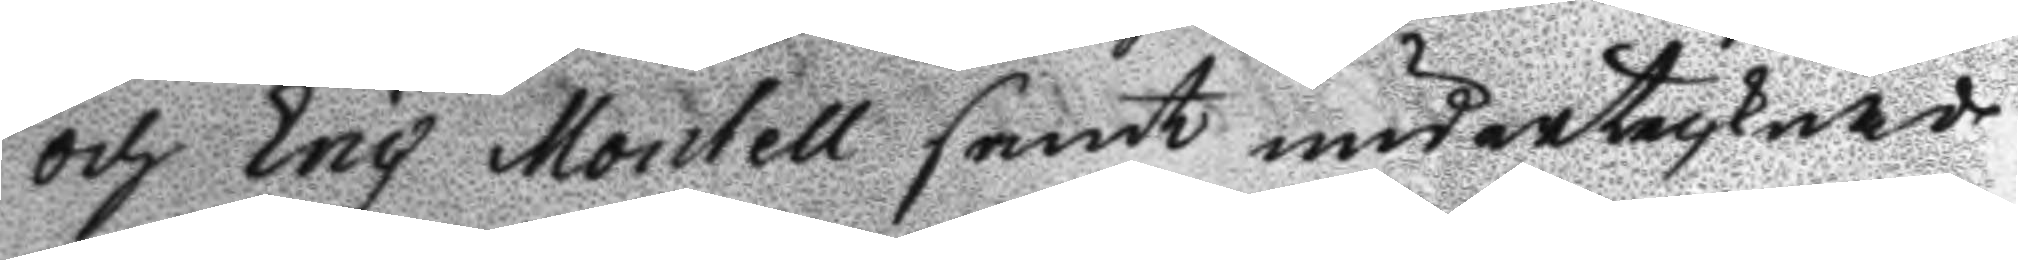och Eric Montell samt undertecknade
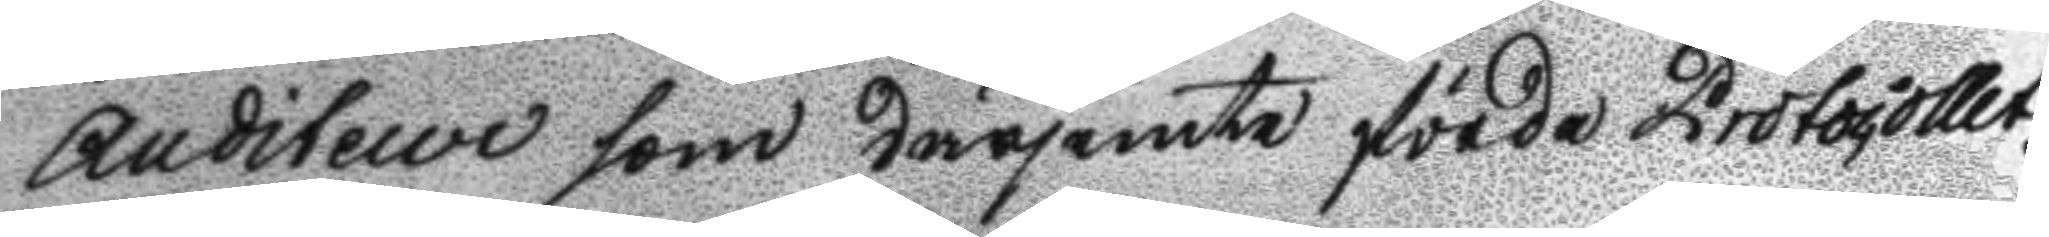Auditeur som därjämte förde Protocollet.
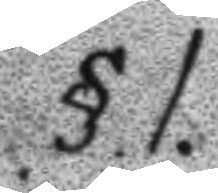§.1.
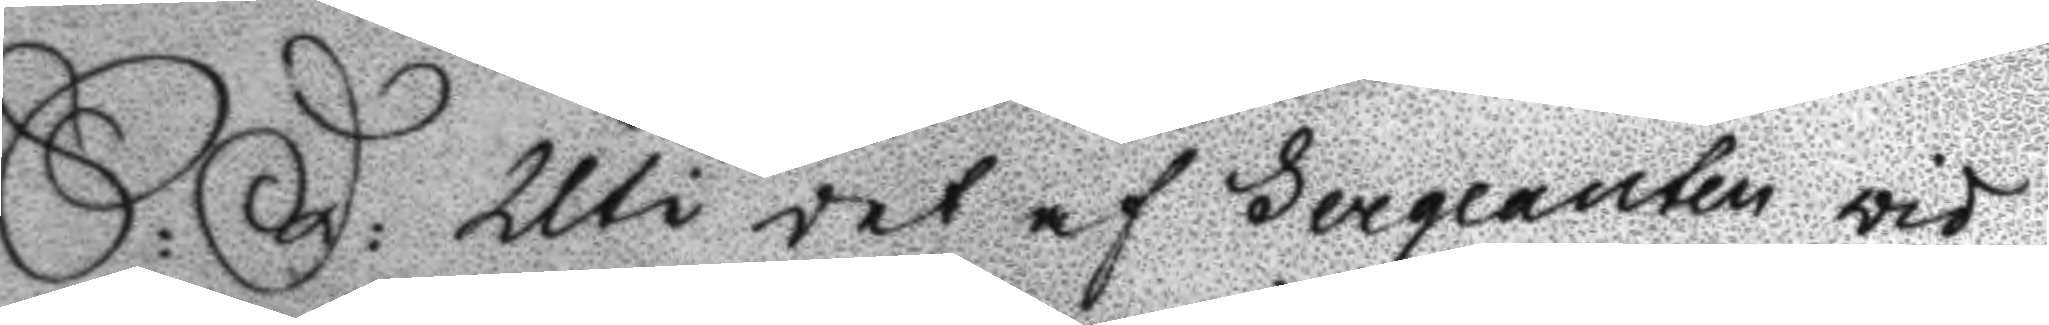S:D: Uti det af Sergeanten vid
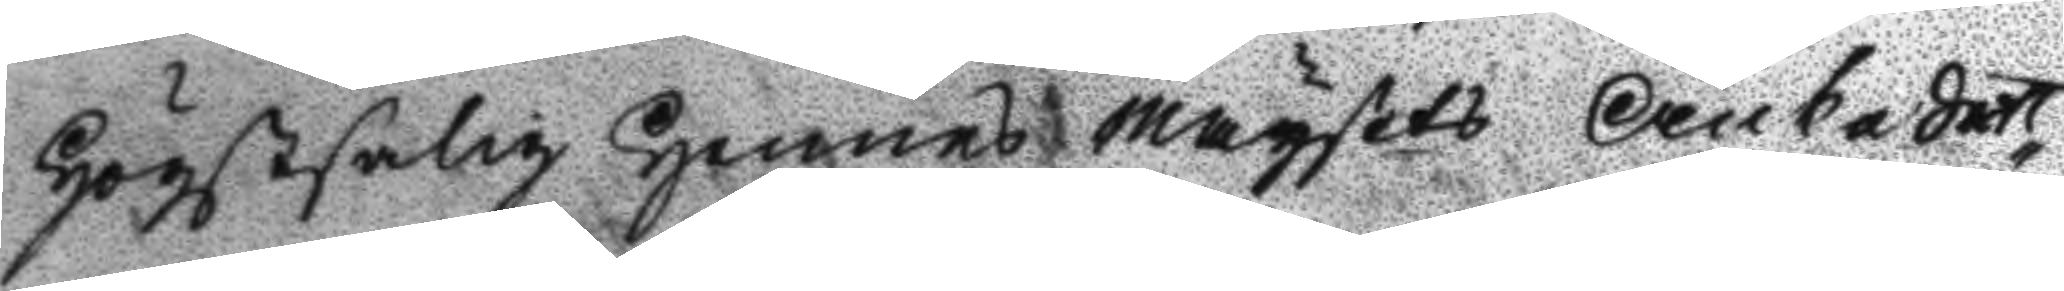Högstsalig Hennes Maysets Änkedrot¬
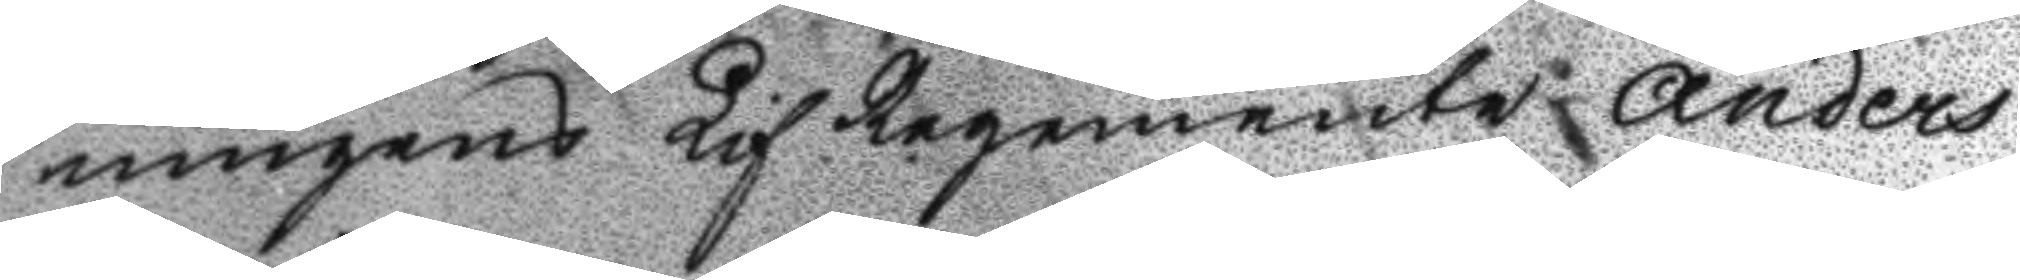ningens Lif Regemente Anders
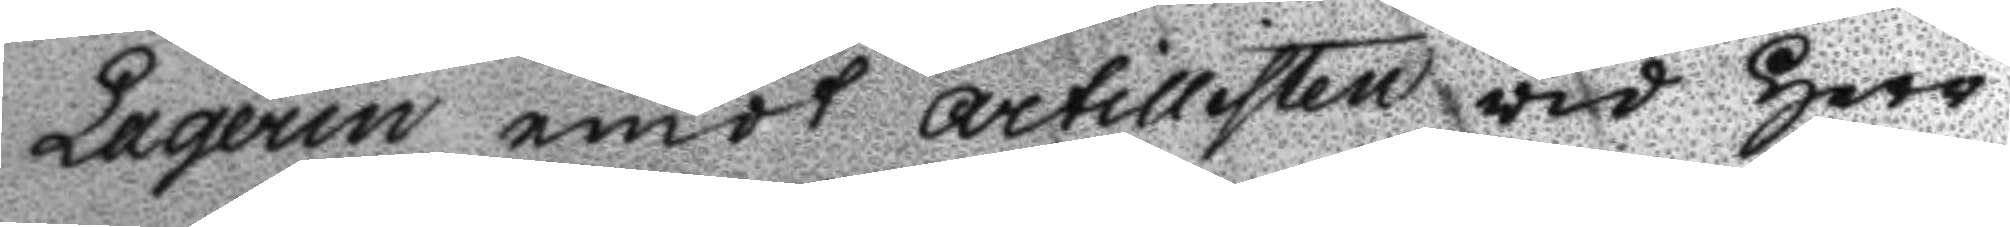Laqerin emot Artilleristen vid Herr
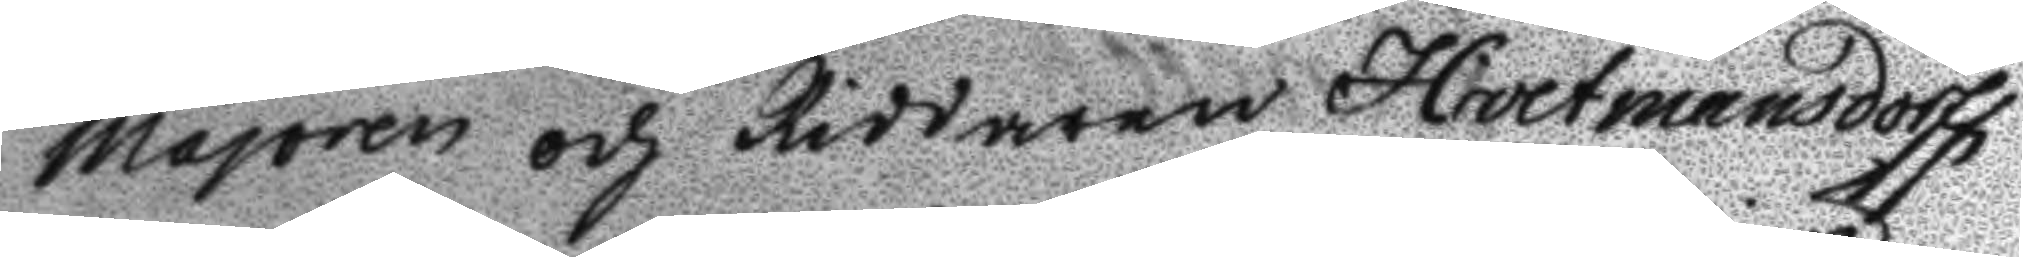Majoren och Riddaren Hartmansdorffs
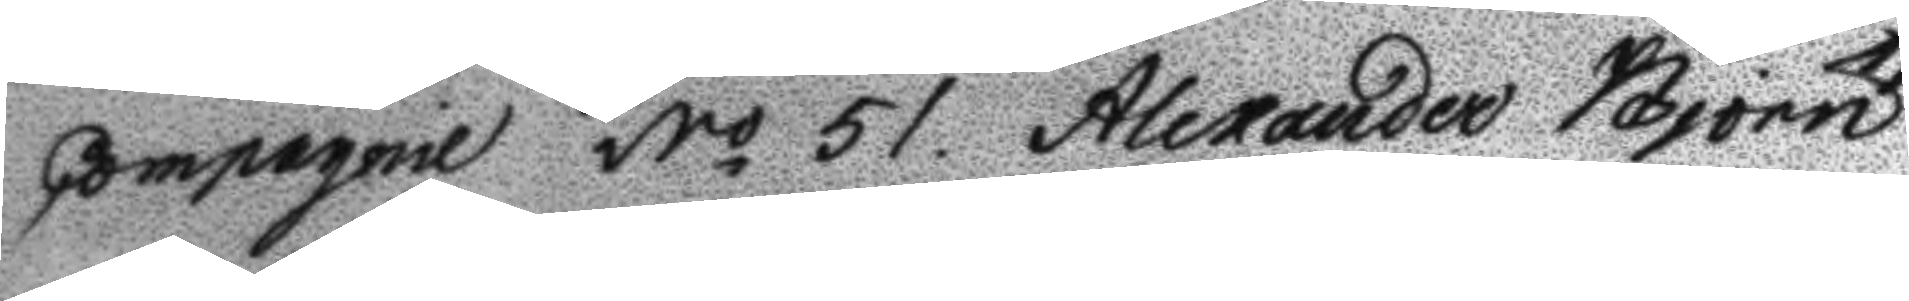Compagnie No 51. Alexander Björn
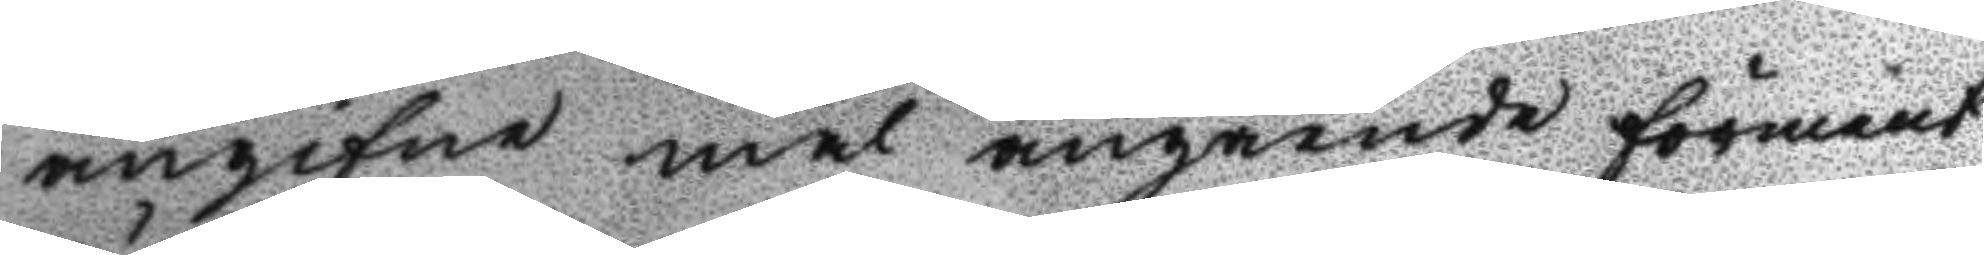angifne mål angående förment
